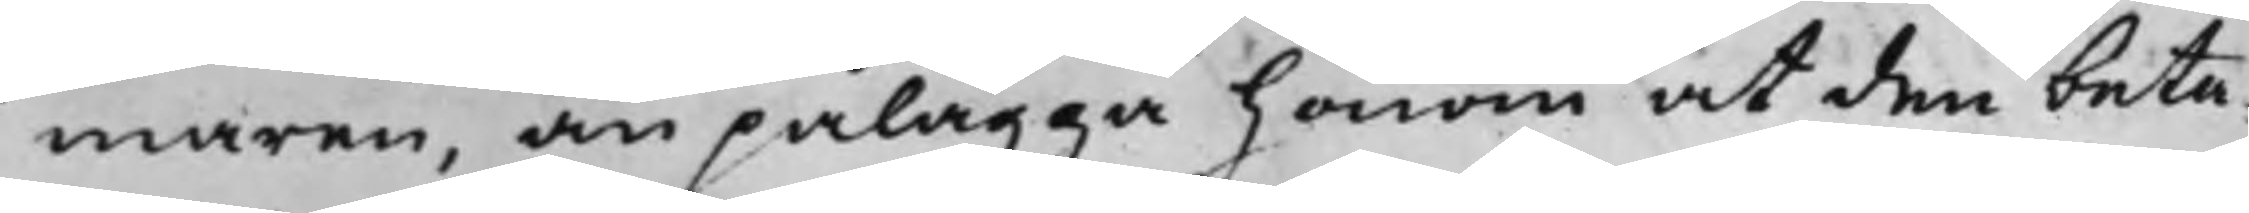maren, än pålägga honom at den beta¬
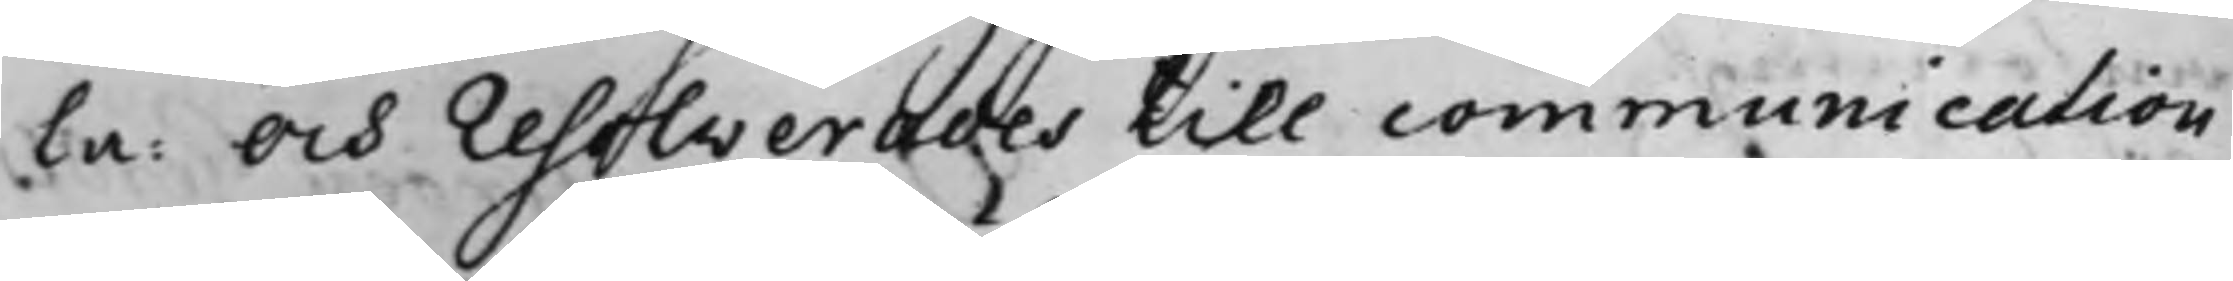la: Och resolverades till communication
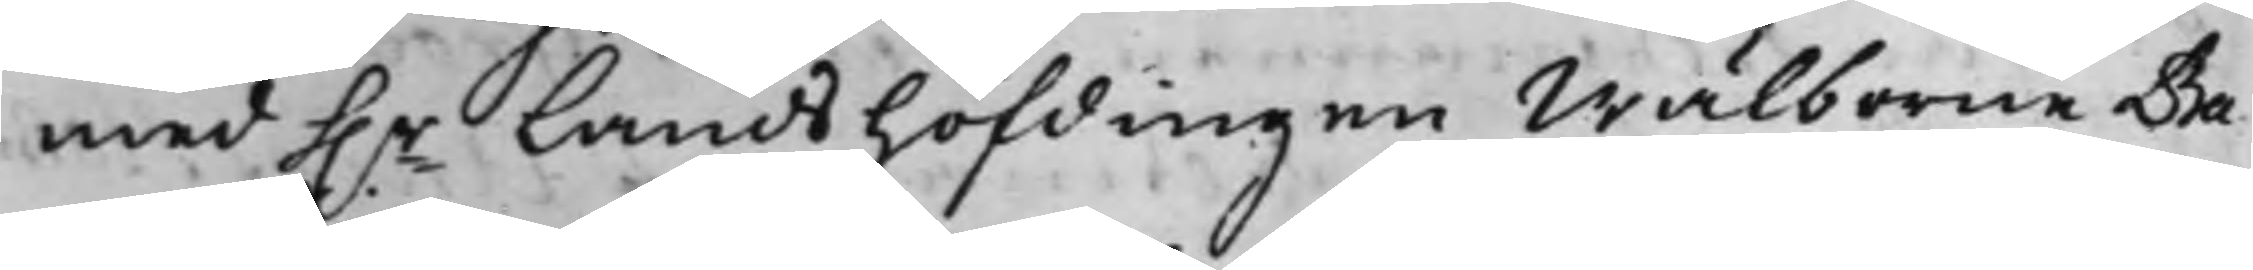med h.r Landshöfdingen Wälborne Ba¬
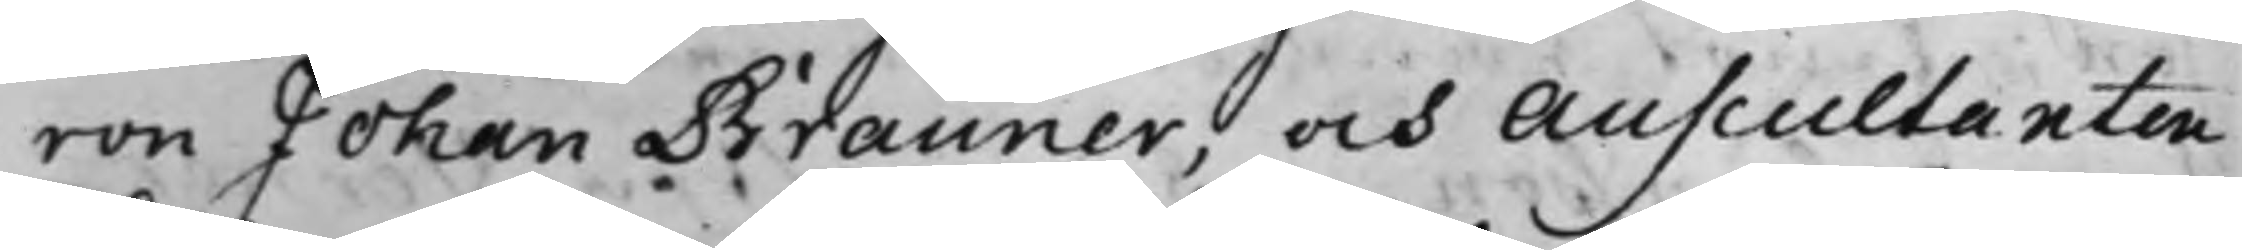ron Johan Brauner, och Auscultanten
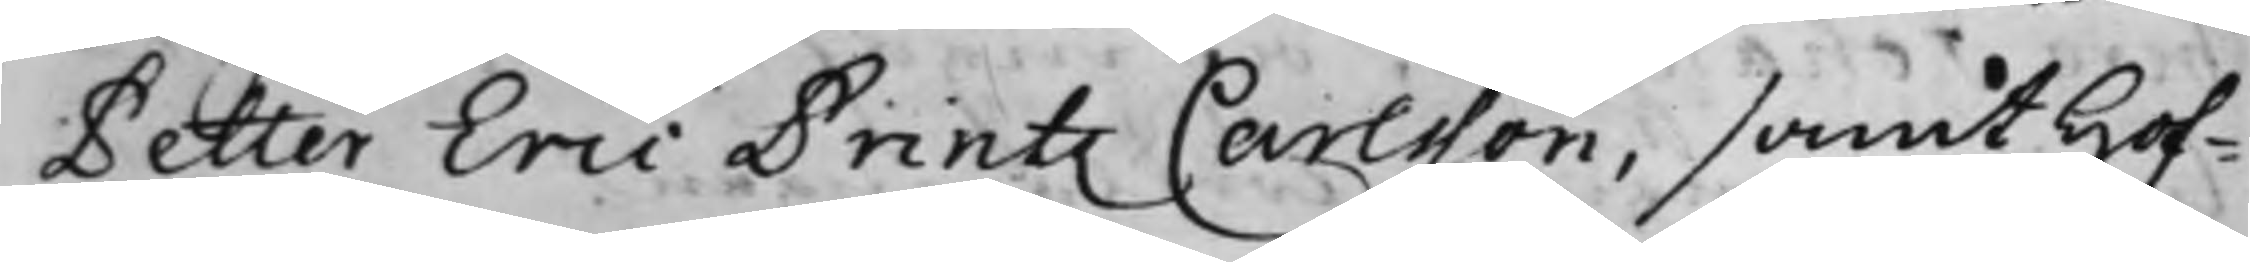Petter Eric Printz Carlsson, samt Hof¬
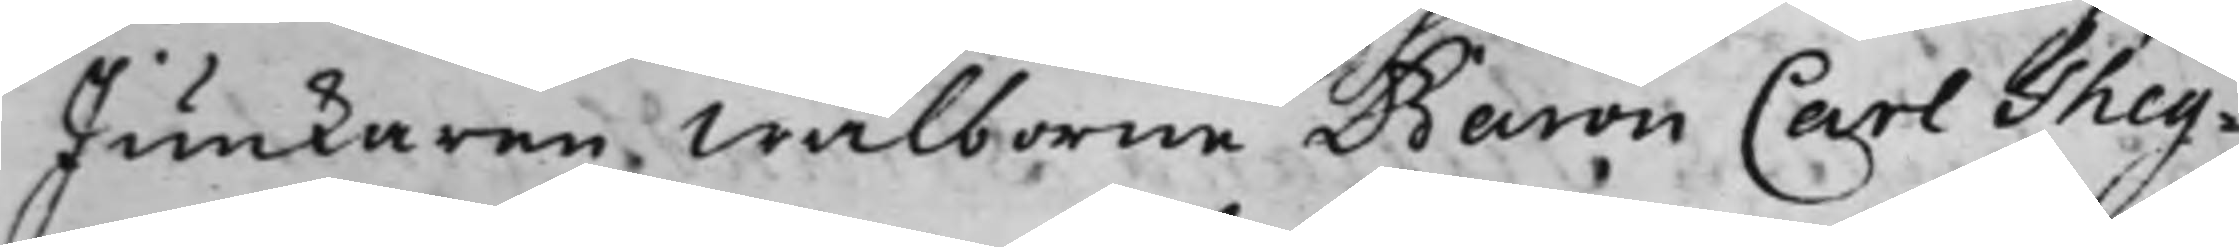Junkaren Wälborne Baron Carl Theg¬
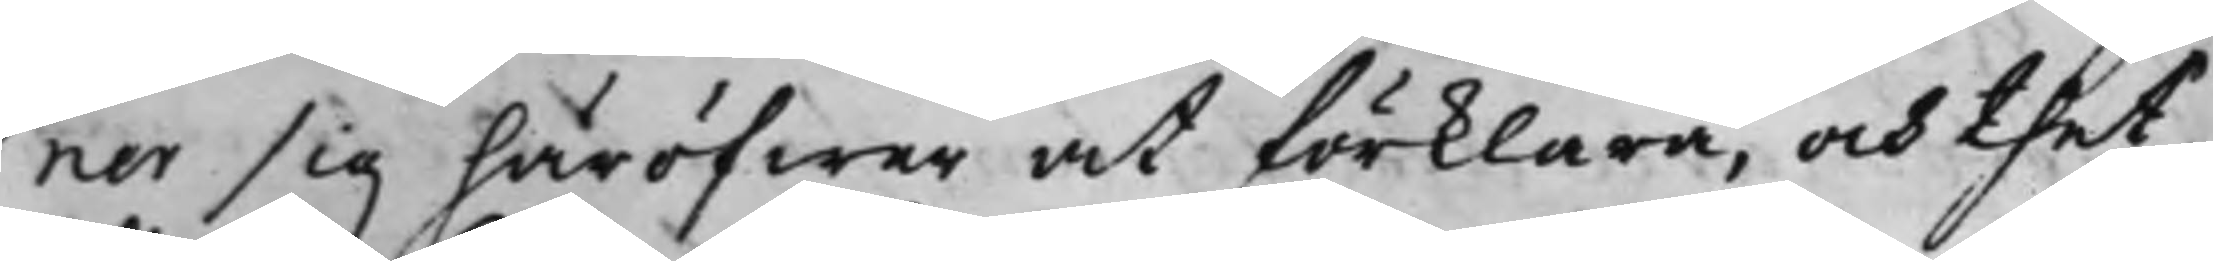ner sig häröfwer at förklara, och thet
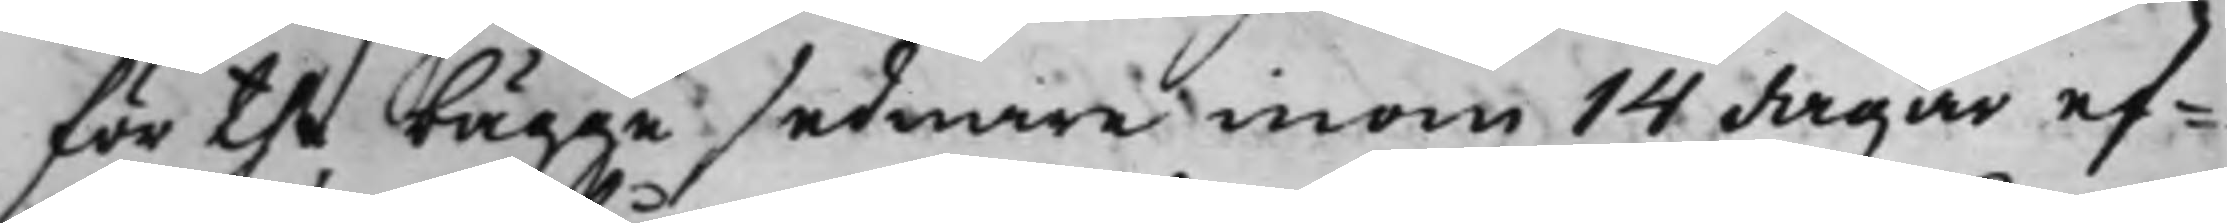för the bägge sednare inom 14 dagar ef¬
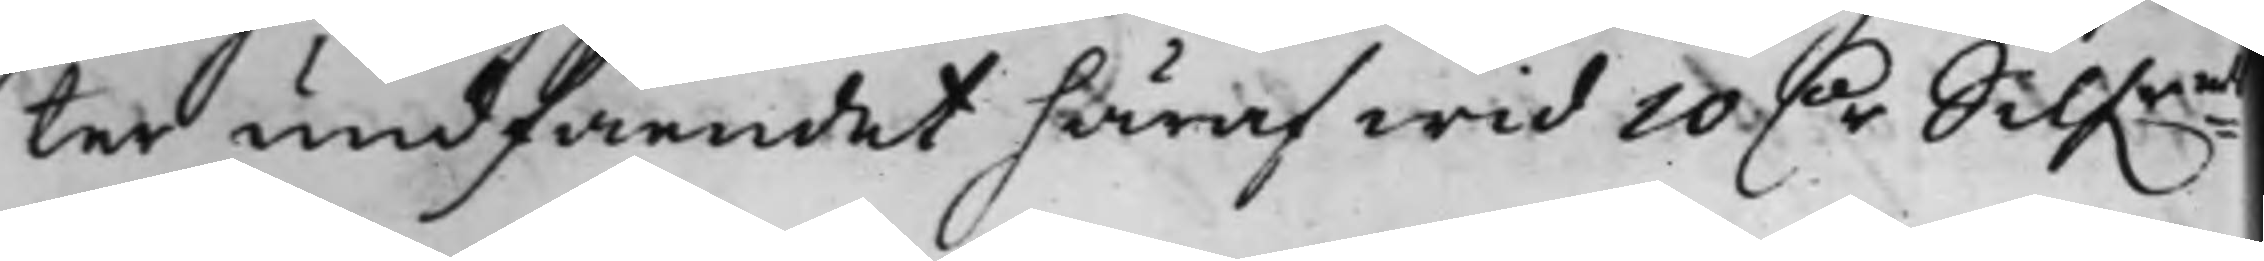ter undfåendet häraf wid 10 D.r Silf.rmts
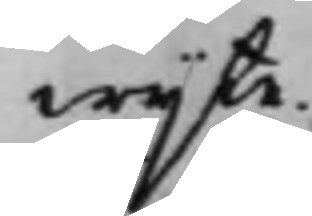wijte.
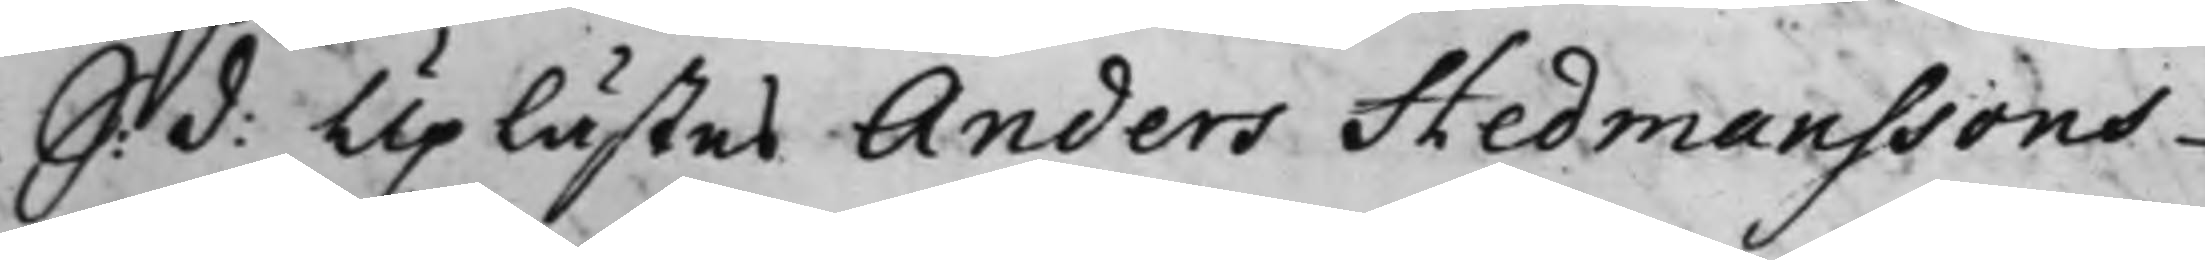S: d: Uplästes Anders Hedmanssons
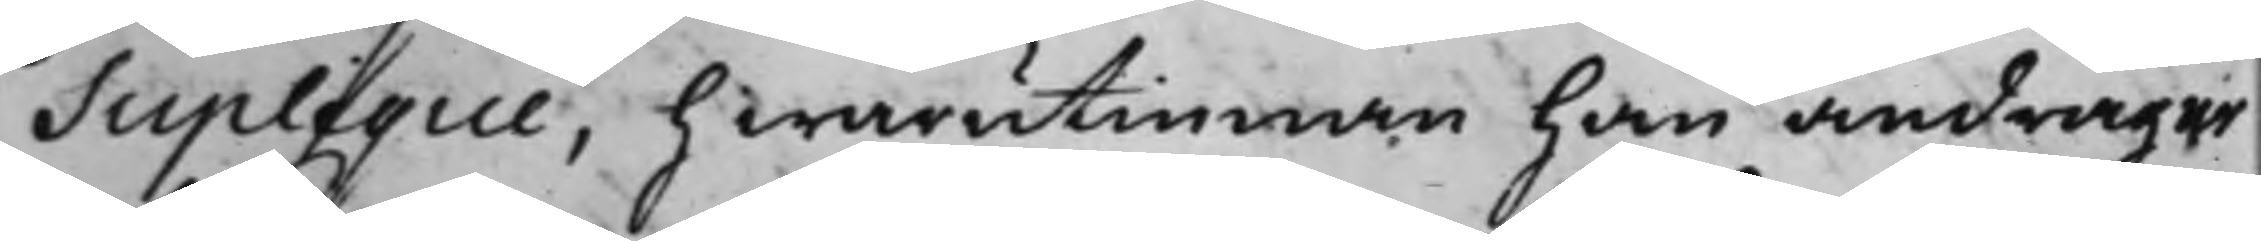Suplique, hwarutinnan han andrager
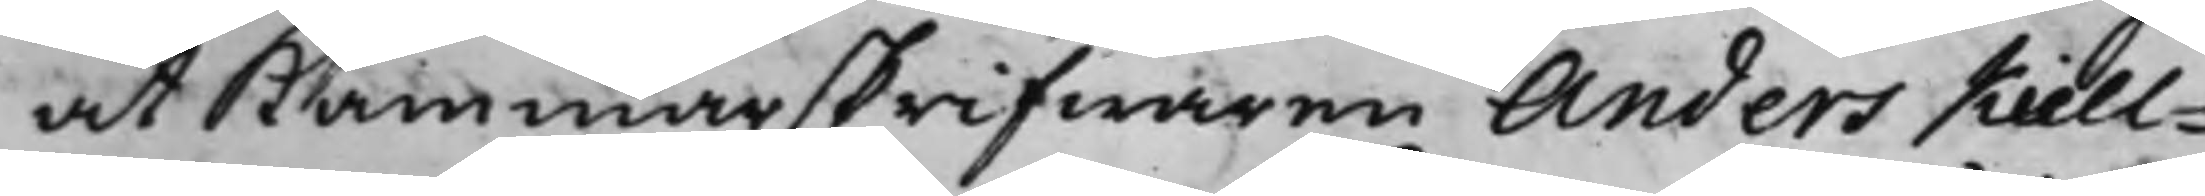at Kammarskrifwaren Anders Kiell¬
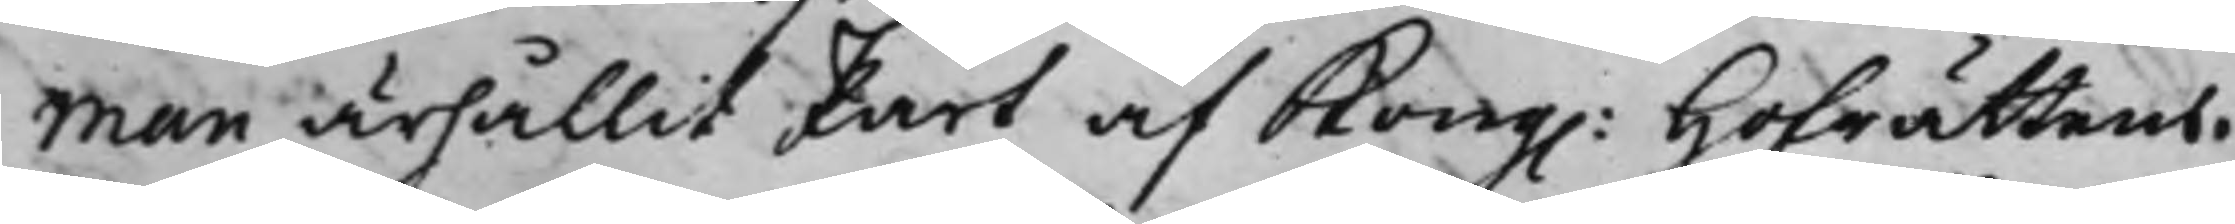man ärhållit Part af Kong: Hofrättens
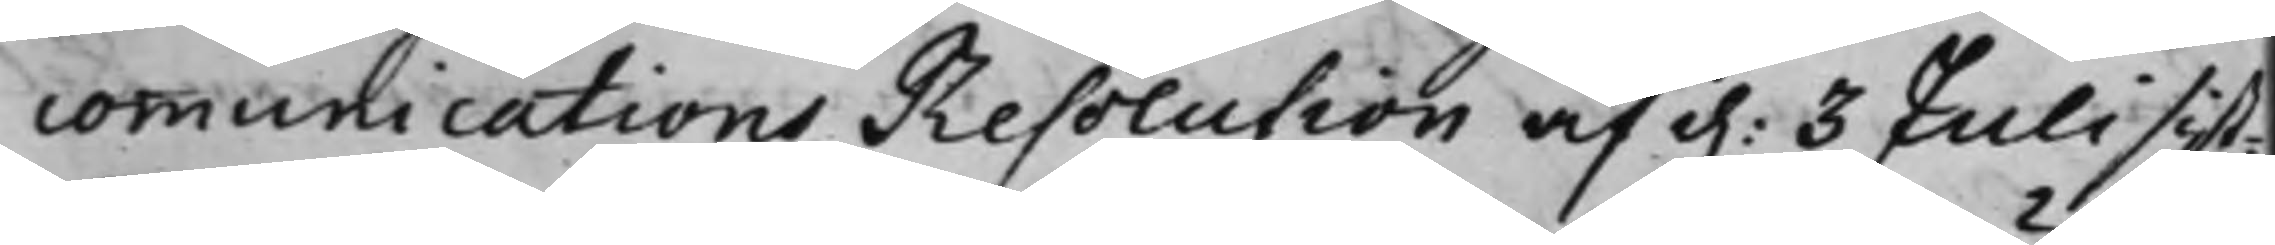communications Resolution af d. 3 Julii sist¬
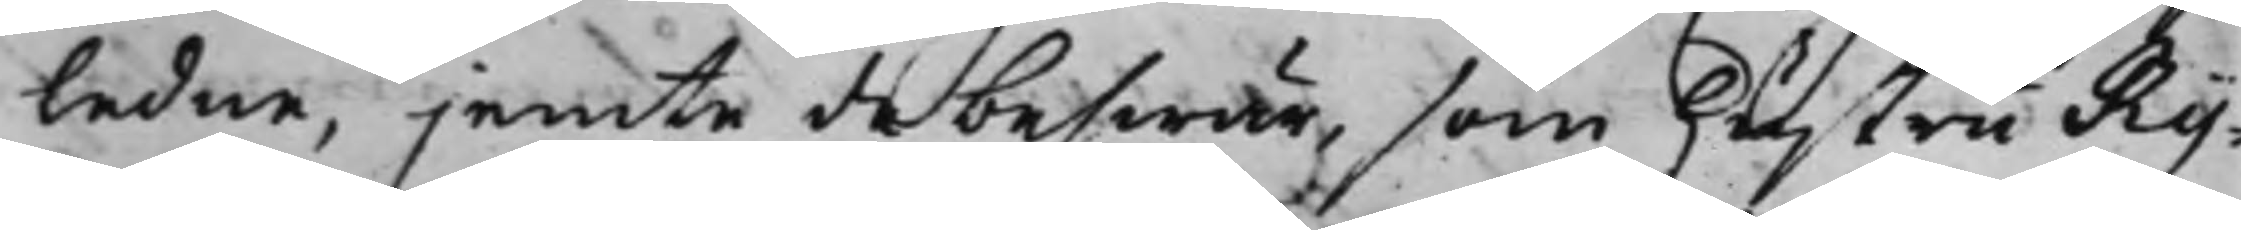ledne, jemte de beswär, som hustru Ry¬
